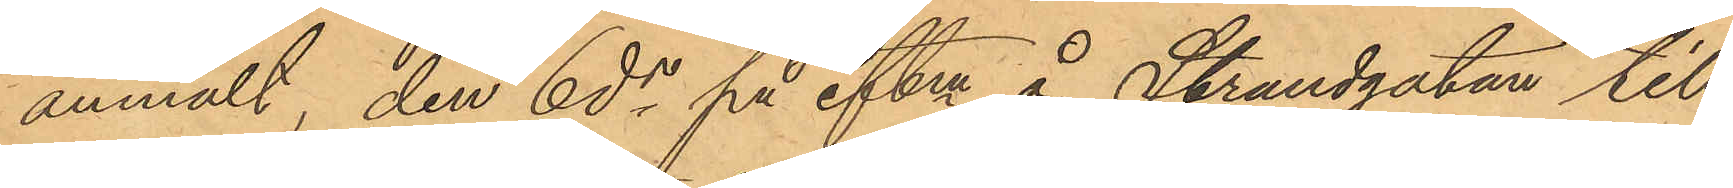anmält, den 6 ds på eftm å Strandgatan till¬
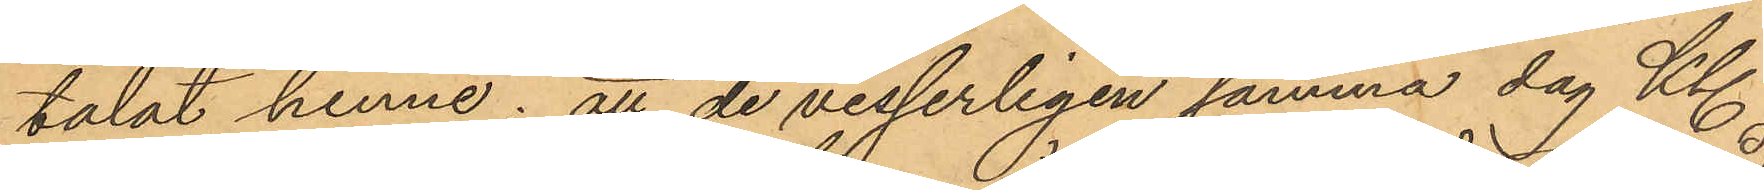talat henne; att de visserligen samma dag Kl.
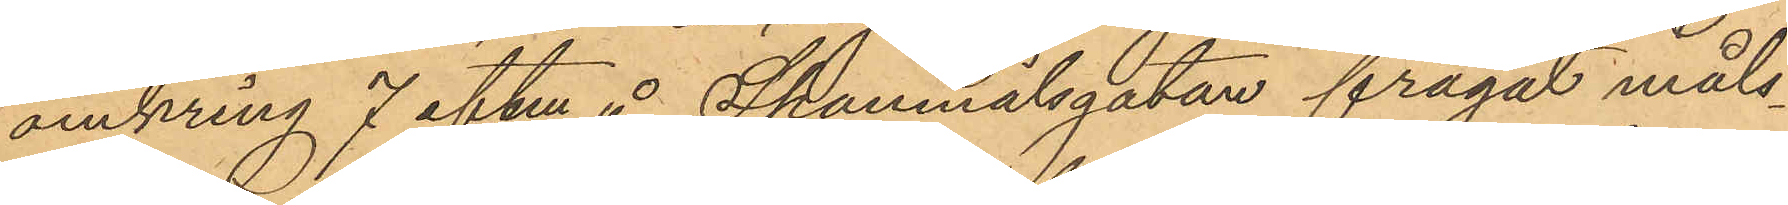omkring 7 eftm å Spannmålsgatan frågat måls¬
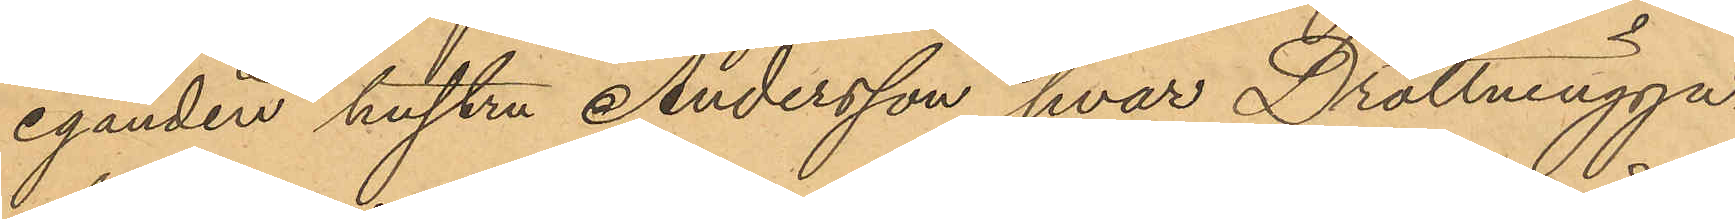eganden hustru Andersson hvar Drottningga¬
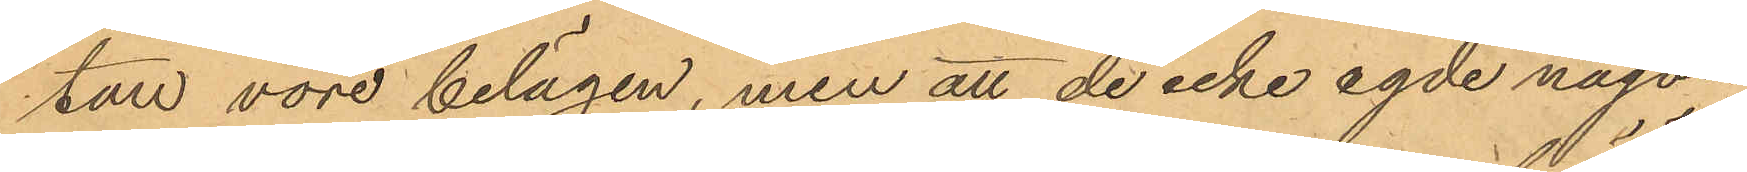tan vore belägen, men att de icke egde någon
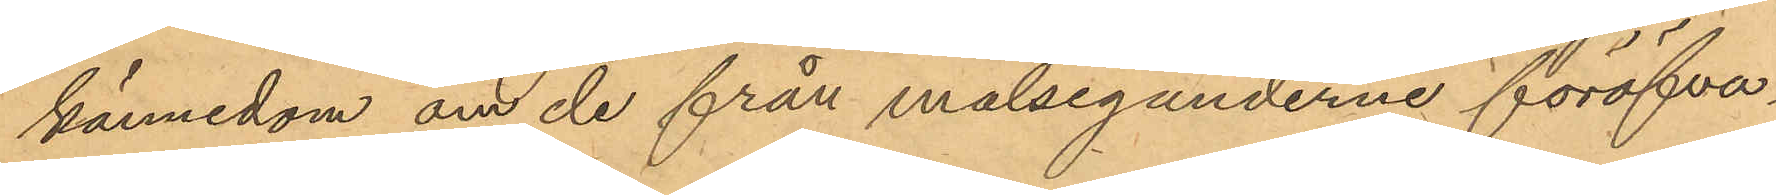kännedom om de från målseganderne föröfva¬
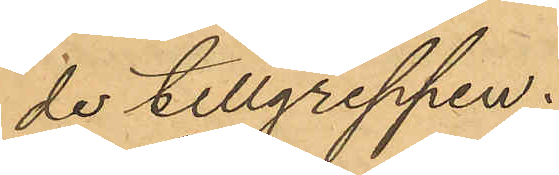de tillgreppen.
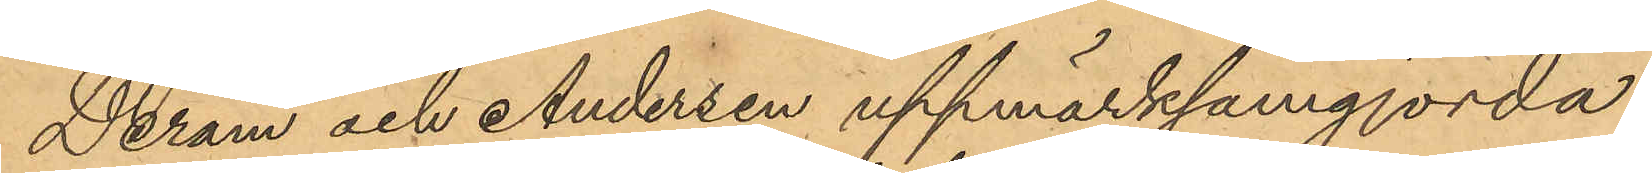Deram och Andersen uppmärksamgjorda
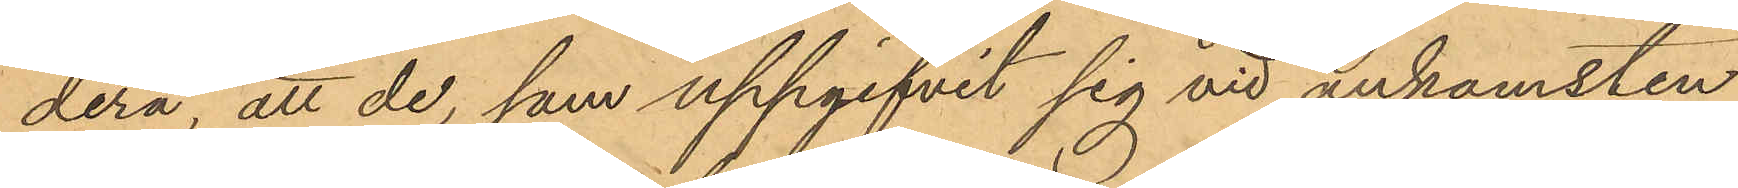derå, att de, som uppgifvit sig vid ankomsten
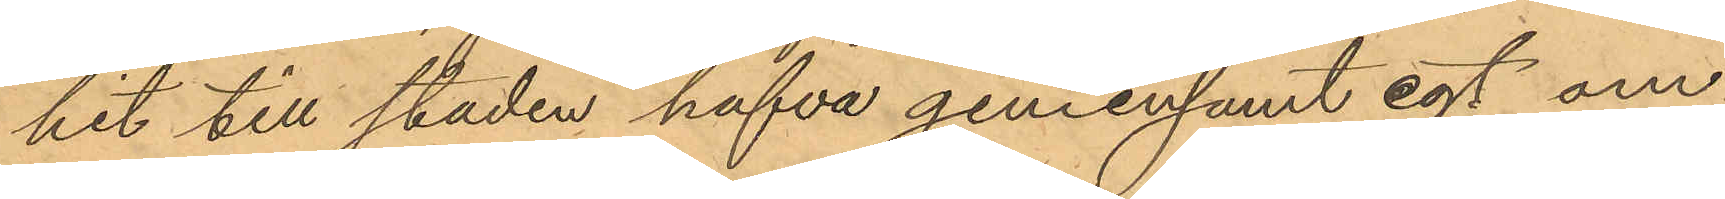hit till staden hafva gemensamt egt om¬
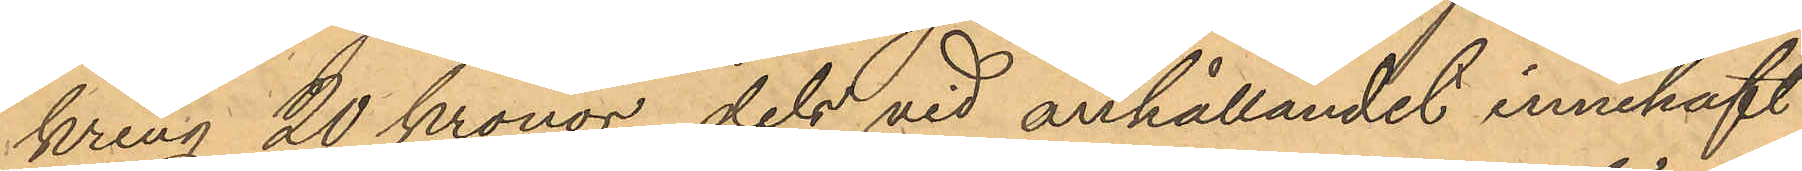kring 20 Kronor dels vid anhållandet innehaft
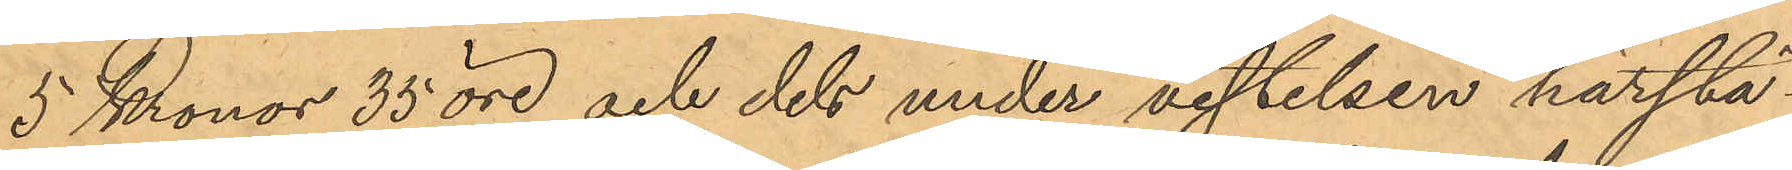5 Kronor 35 öre och dels under vistelsen härstä¬
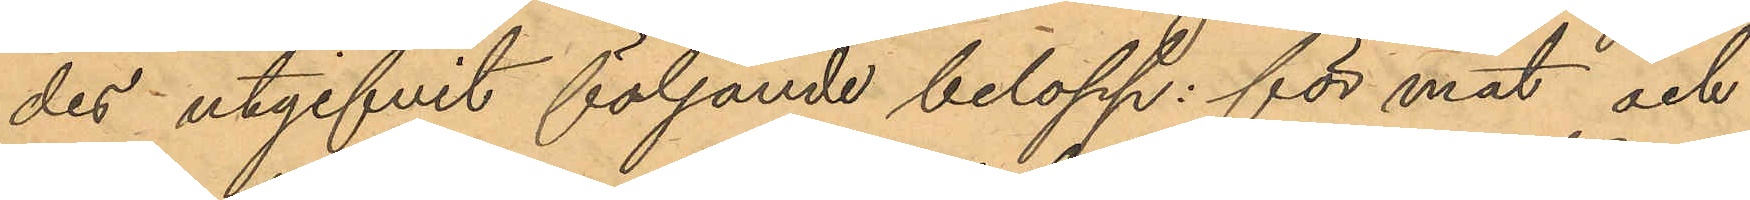des utgifvit följande belopp för mat och
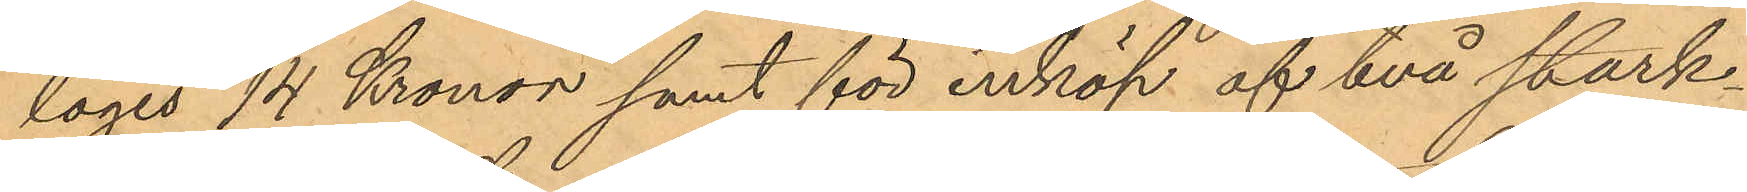logis 14 Kronor samt för inköp af två stärk¬
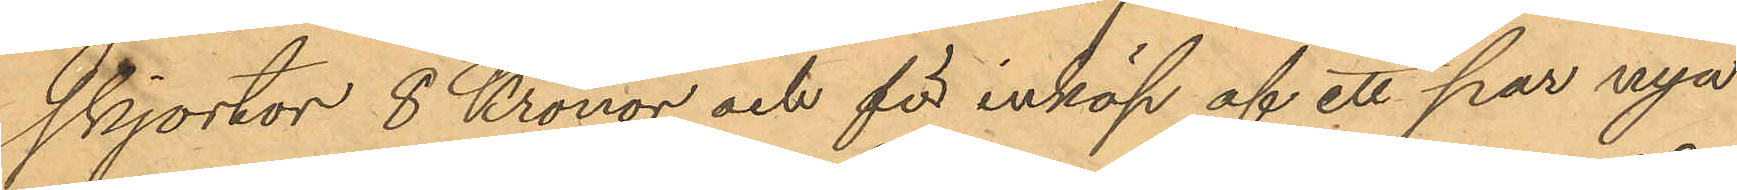skjortor 8 Kronor och för inköp af ett par nya
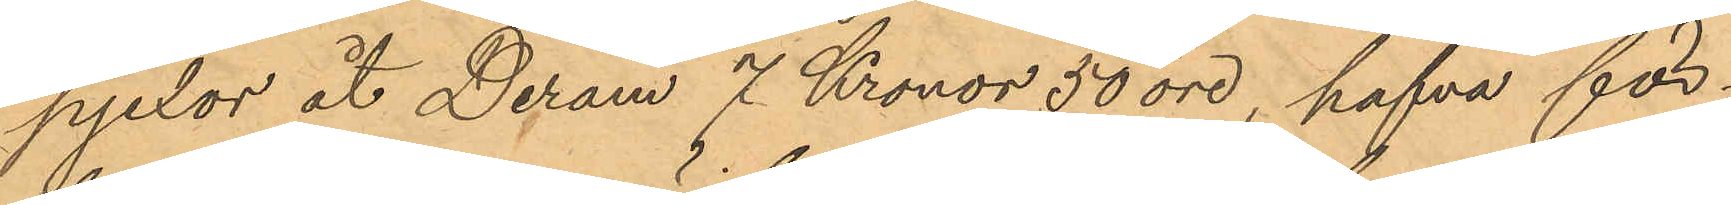pjexor åt Deram 7 Kronor 50 öre, hafva för¬
